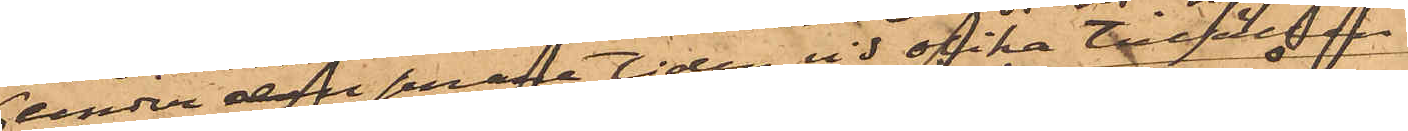under den senare tiden vid olika tillfällen
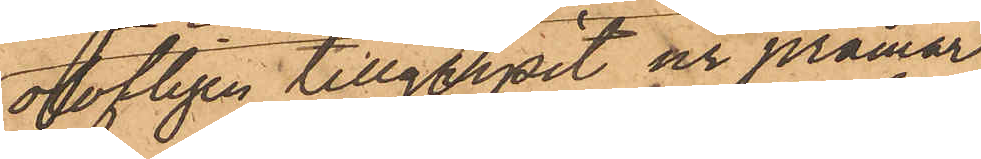olofligen tillgripit ur pråmar,
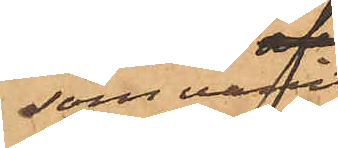som varit
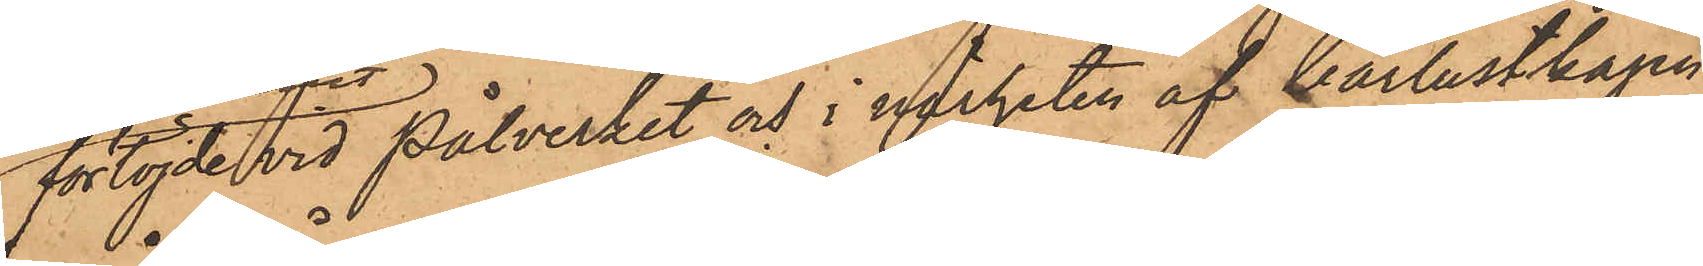förtöjde vid Pålverket och i närheten af barlastkajen;
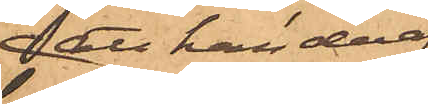att han deraf
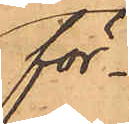för¬
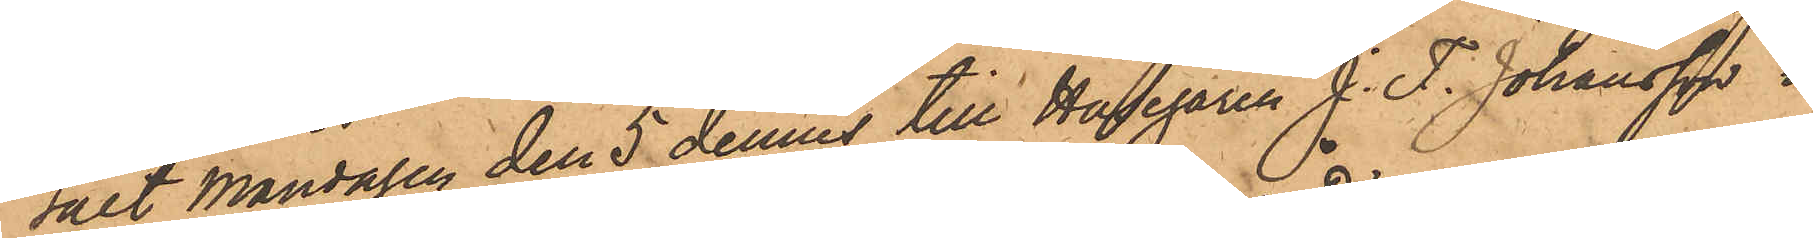sålt Måndagen den 5 dennes till Husegaren J. F. Johansson i
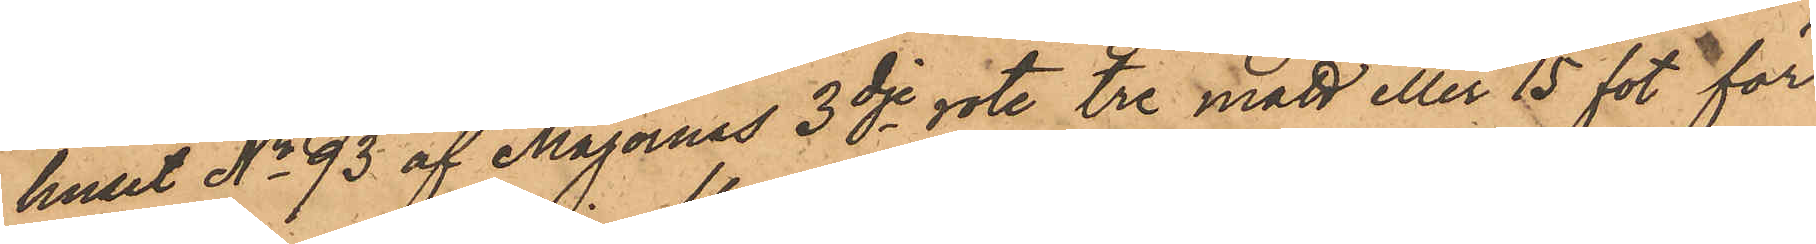huset No 93 af Majornas 3dje rote, tre mått eller 15 fot för
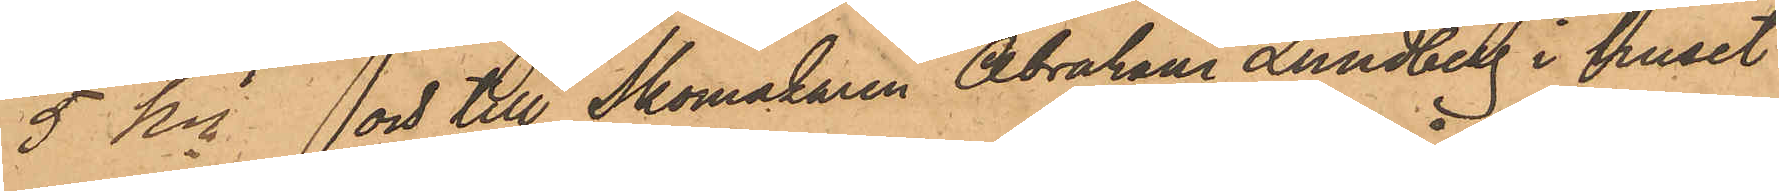5 Kr och till Skomakaren Abraham Lundberg i huset
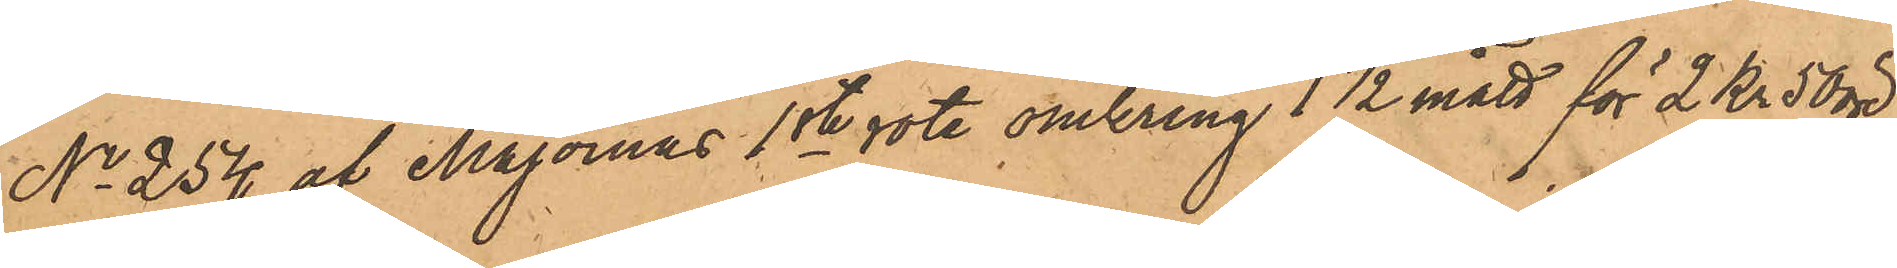No 254 af Majornas 1ste rote omkring 1 1/2 mått för 2 Kr 50 öre,
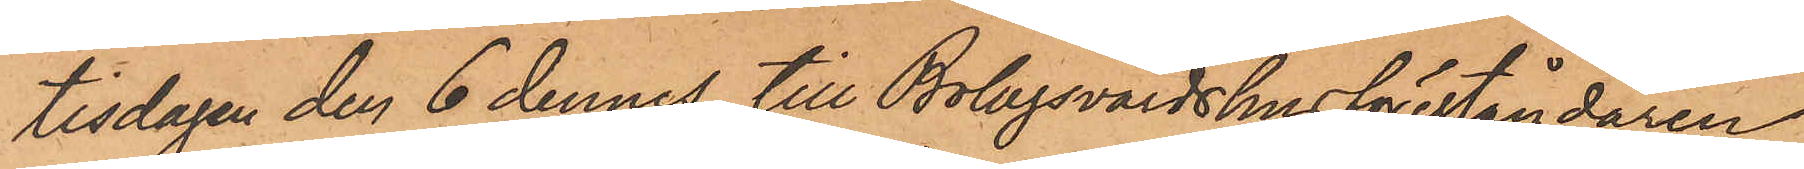tisdagen den 6 dennes till Bolagsvärdshusföreståndaren
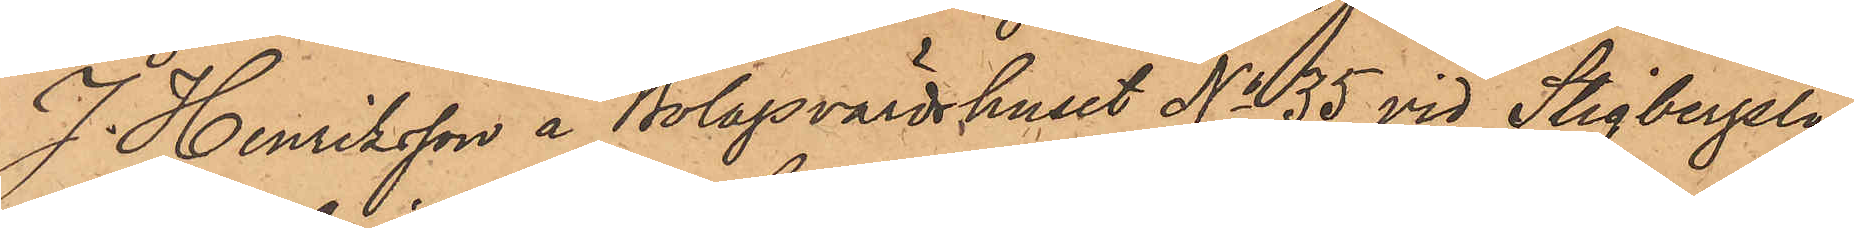J. Henriksson å Bolagsvärdshuset No 35 vid Stigbergsli¬
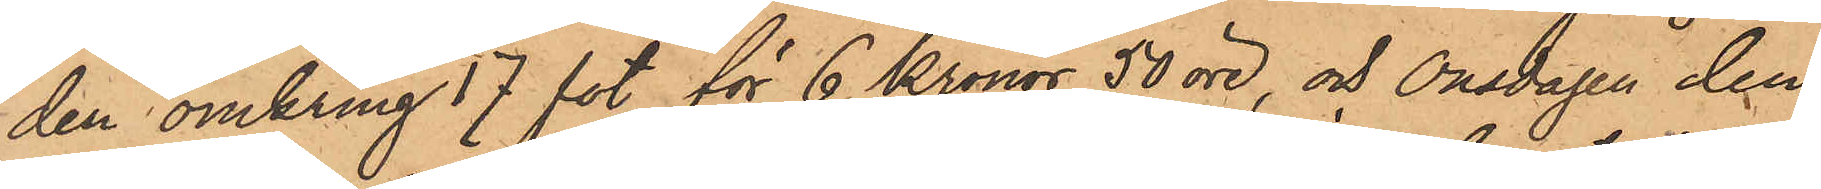den omkring 17 fot för 6 Kronor 50 öre, och Onsdagen den
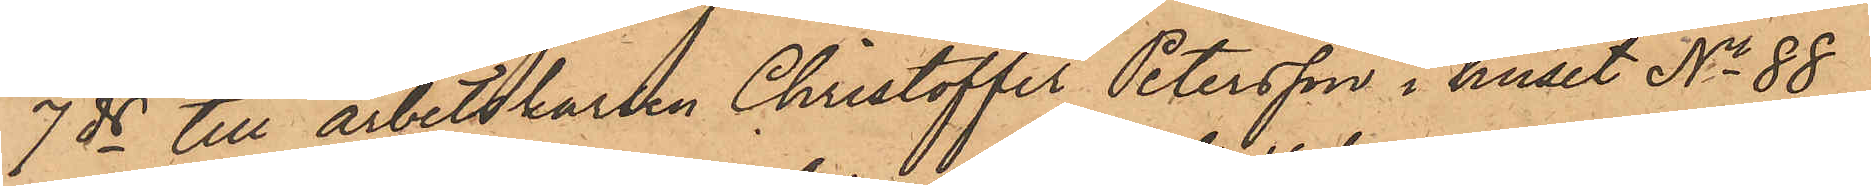7 ds till arbetskarlen Christoffer Petersson i huset No 88
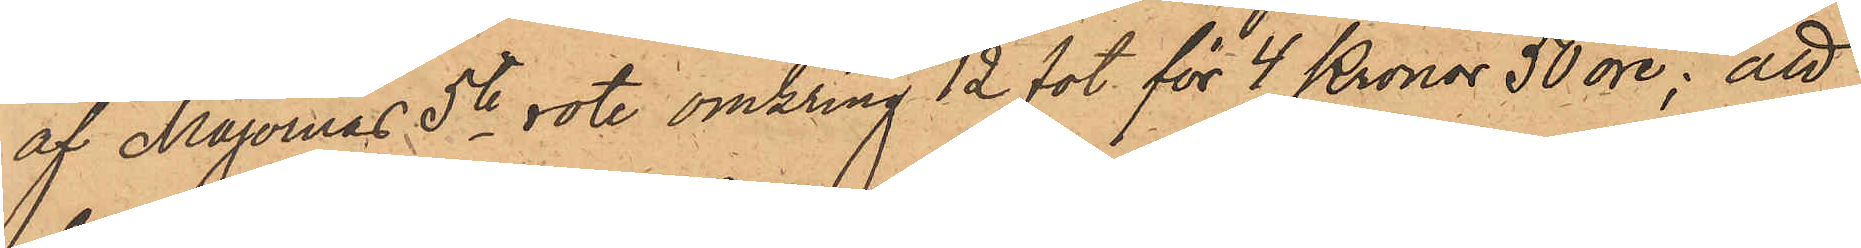af Majornas 5te rote omkring 12 fot för 4 Kronor 50 öre; att
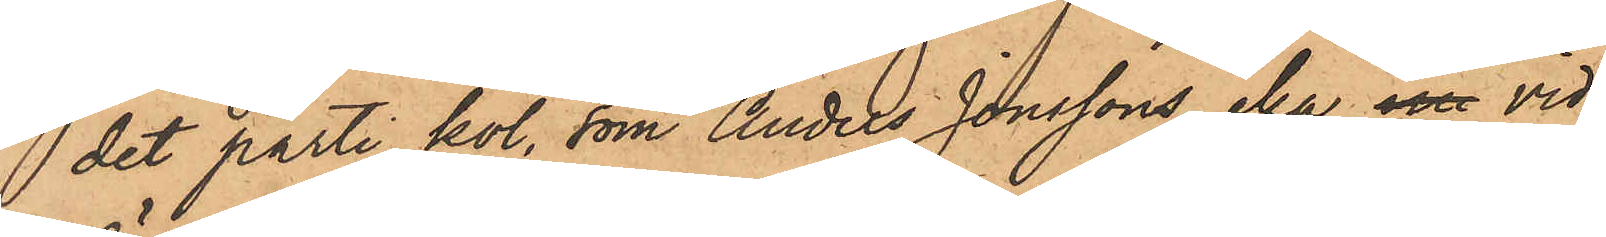 det parti kol, som Anders Jonssons eka in vid
